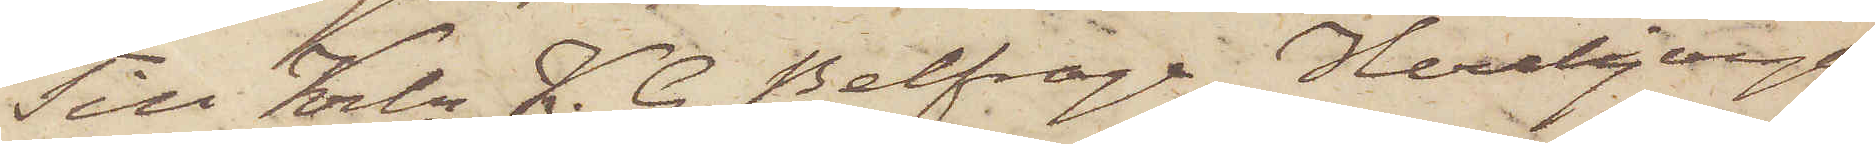Till Krln K. G. Belfrage Herrljunga.
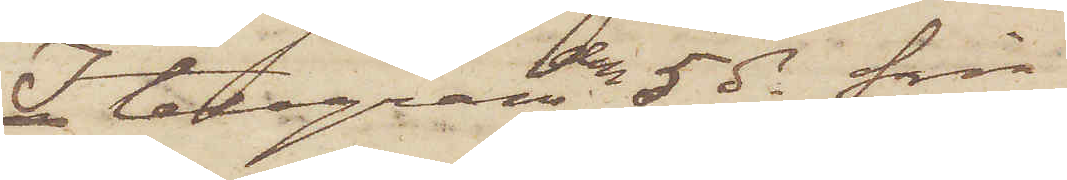I telegram den 5 ds från
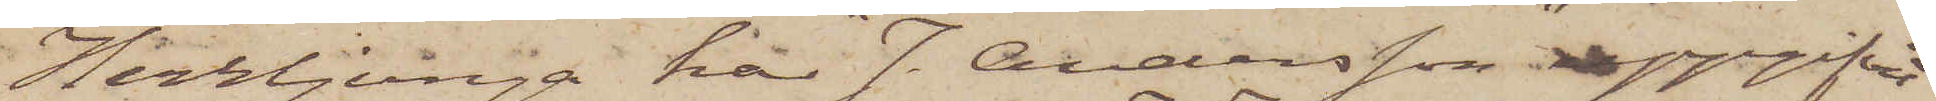Herrljunga, har "J. Andersson" uppgifvit
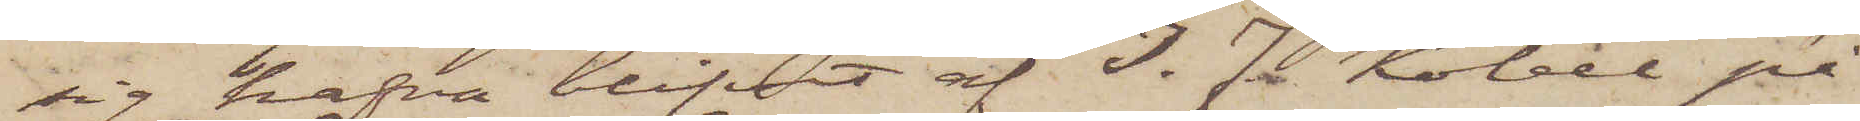sig hafva blifvit af I. J. Kobel på
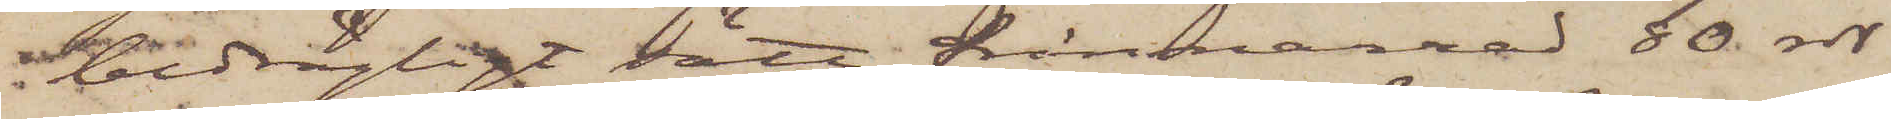bedrägligt sätt frånnarrad 80 rdr
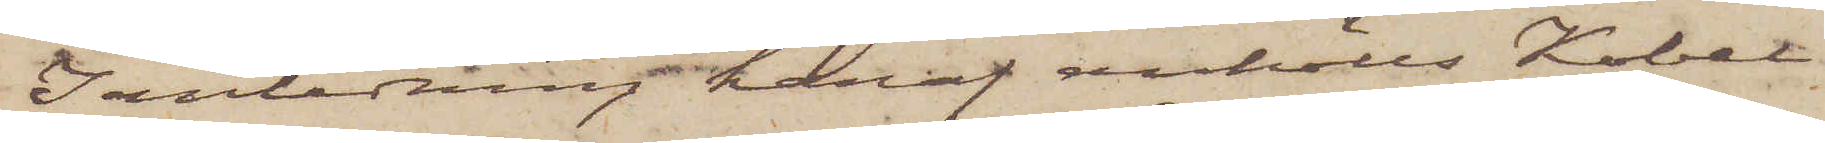I anledning häraf anhölls Kobel,
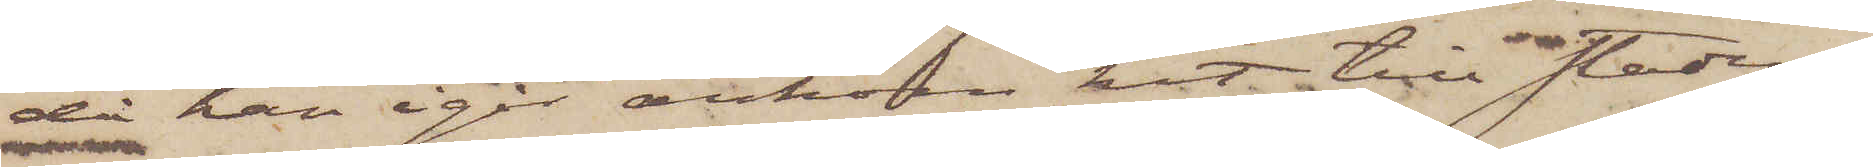då han igår ankom hit till staden,
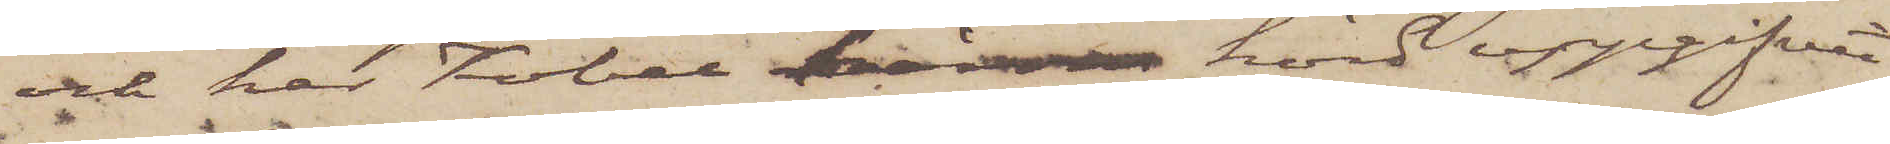och har Kobel härom hörd uppgifvit
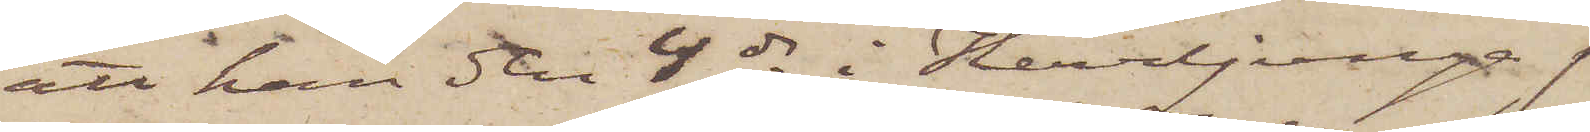att han den 4 ds i Herrljunga
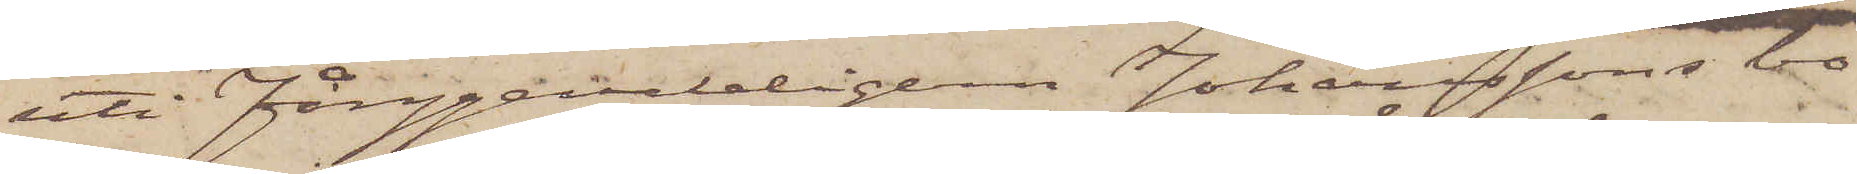uti Fånggevaldingern Johanssons bo¬
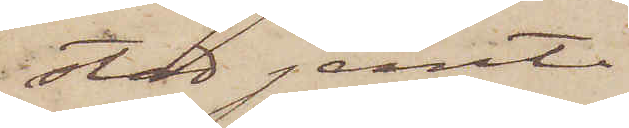stad jemte
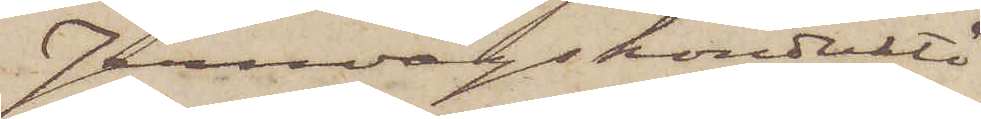Jernvägskonduktö¬
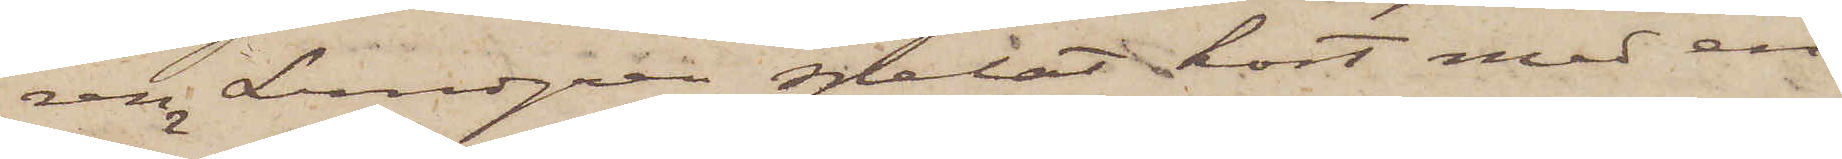ren Lundgren spelat kort med en
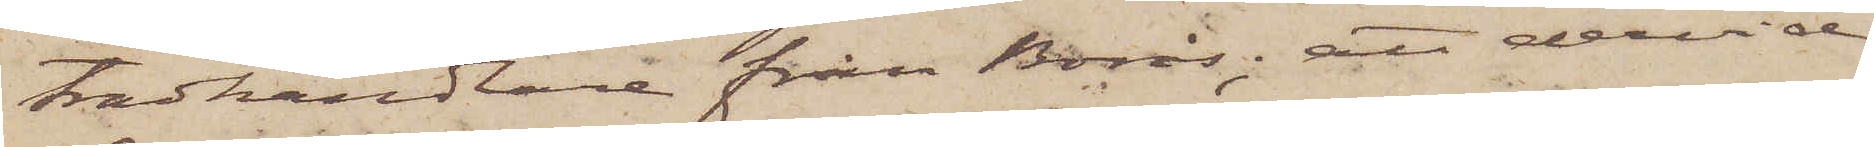trädhandlare från Borås; att dervid
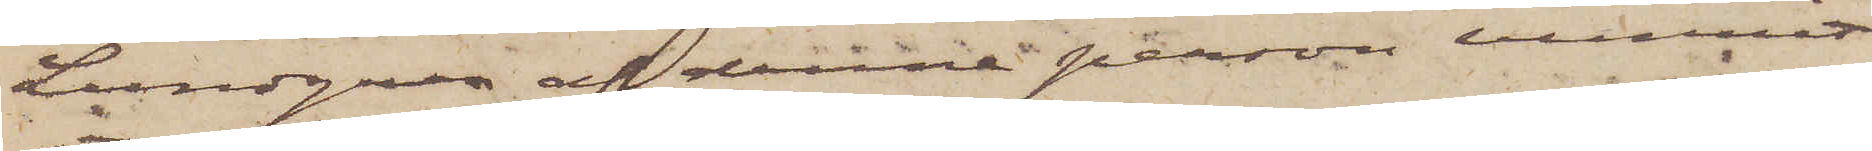Lundgren af denne person mistat
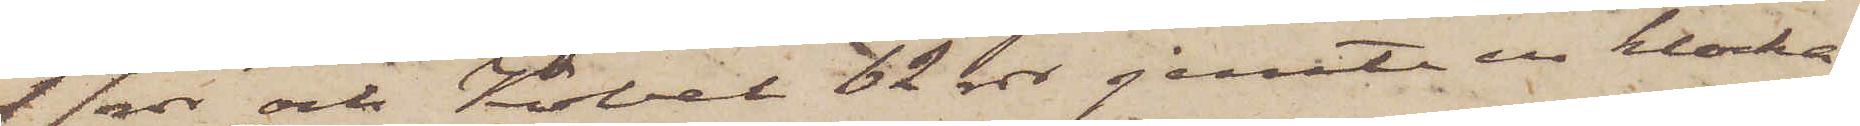17 rdr och Kobel 62 rdr jemte en klocka;
